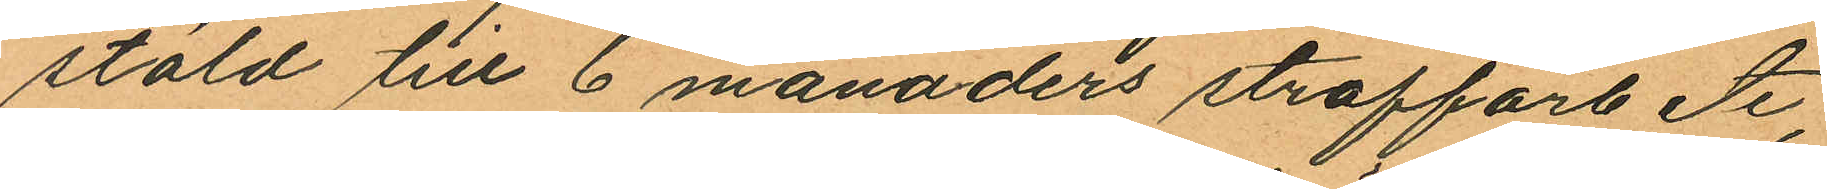stöld till 6 månaders straffarbete,
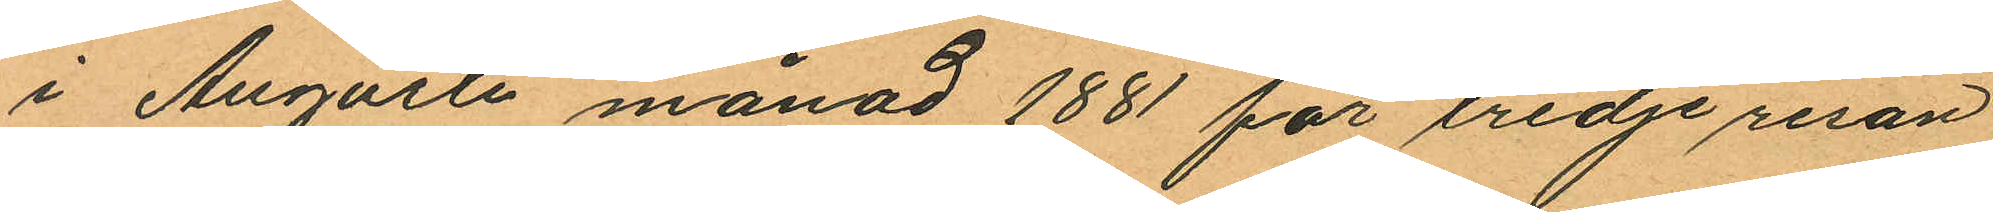i Augusti månad 1881 för tredje resan
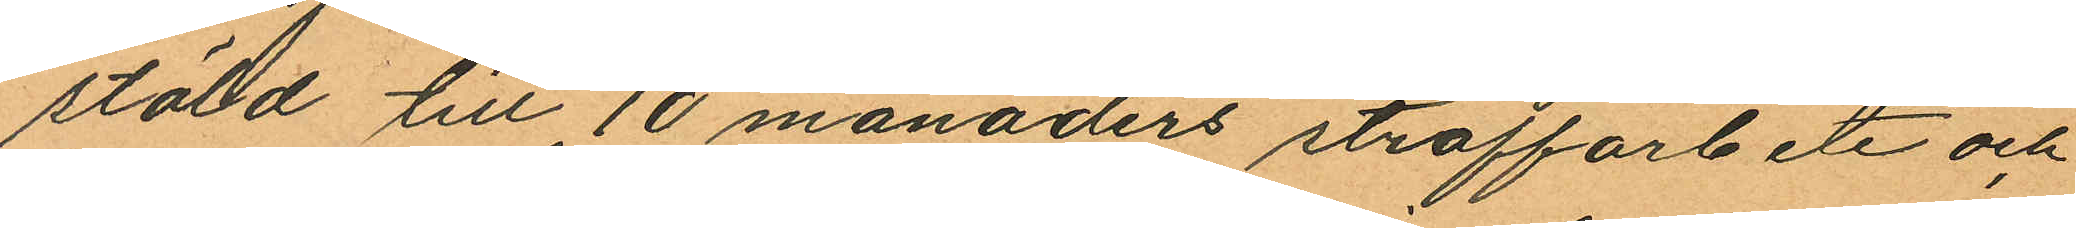stöld till 10 månaders straffarbete och
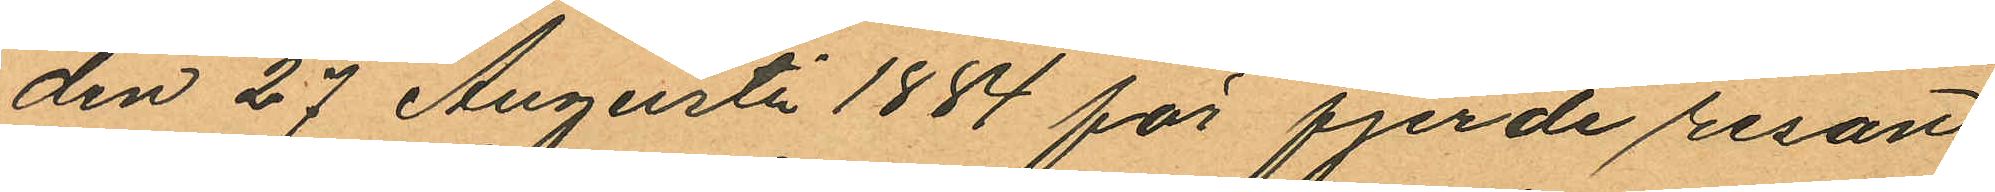den 27 Augusti 1884 för fjerde resan
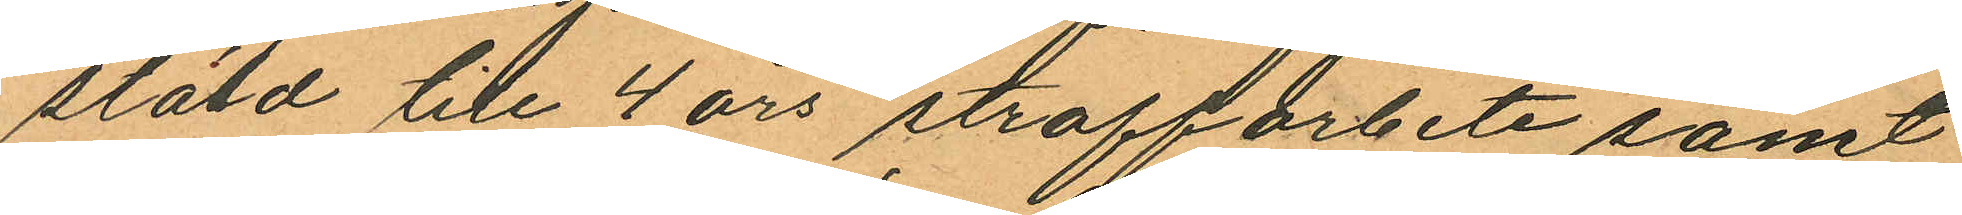stöld till 4 års straffarbete samt
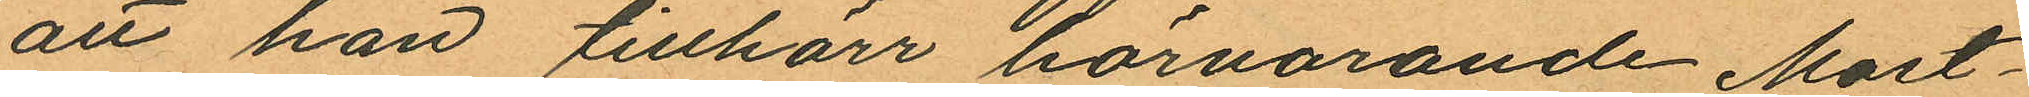att han tillhörr härvarande Mast¬
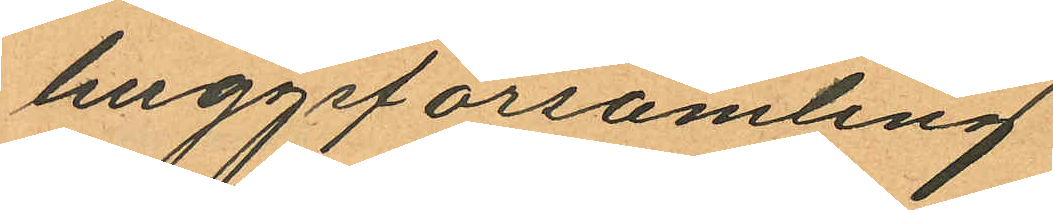huggsförsamling
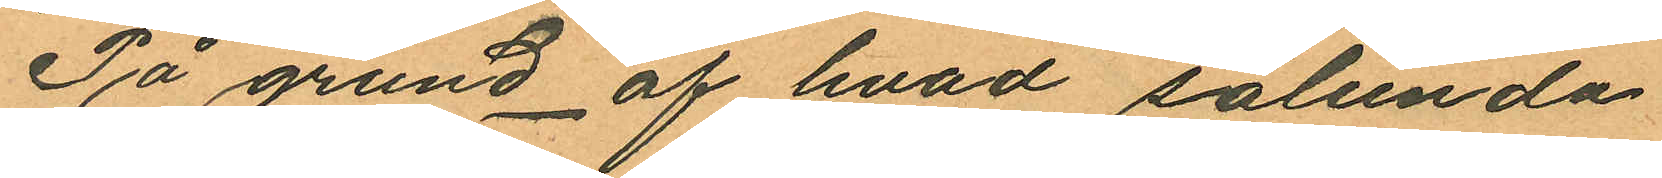På grund af hvad sålunda
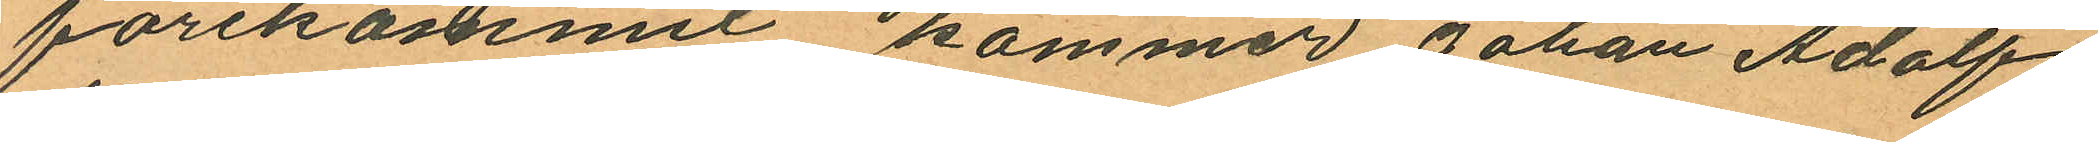förekommit kommer Johan Adolf
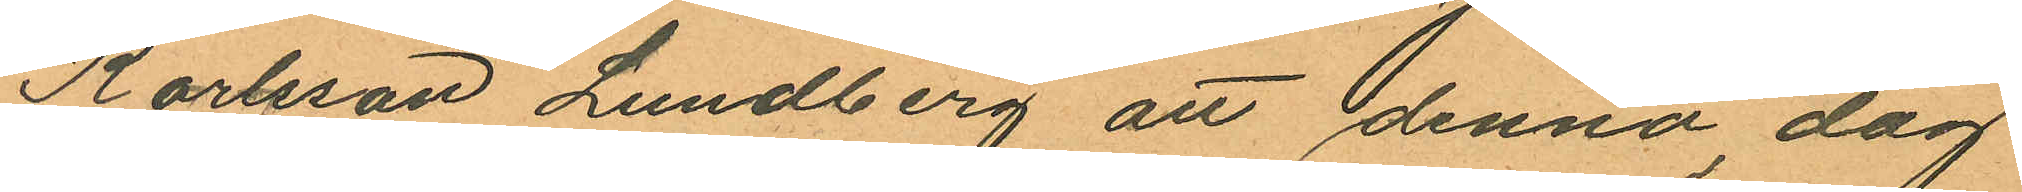Karlsson Lundberg att denna dag
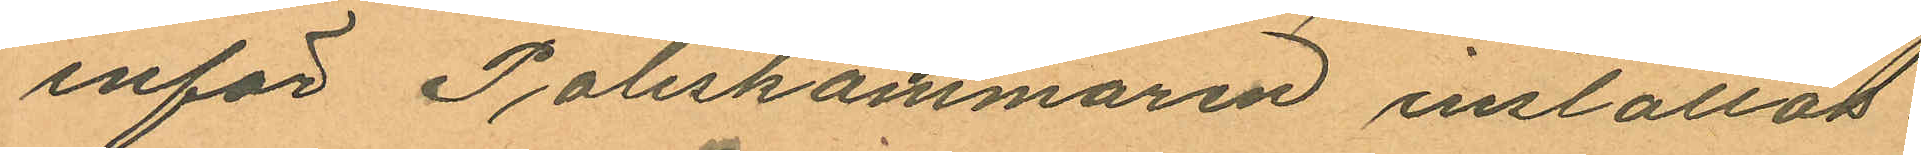inför Poliskammaren inställas.
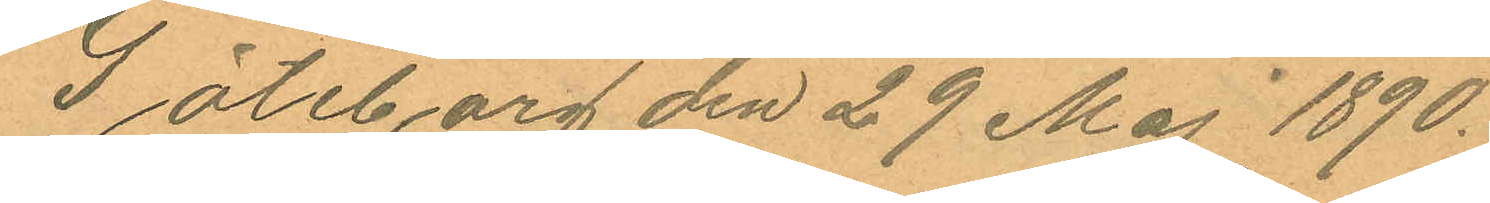Göteborg den 29 Maj 1890.
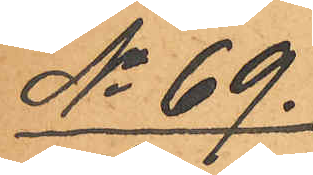No 69.
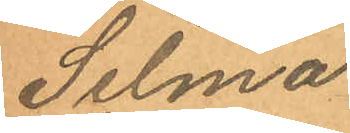Selma
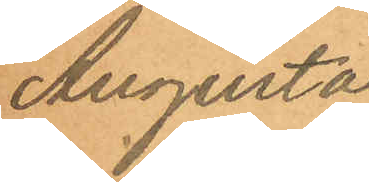Augusta
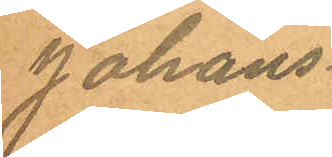Johans¬
